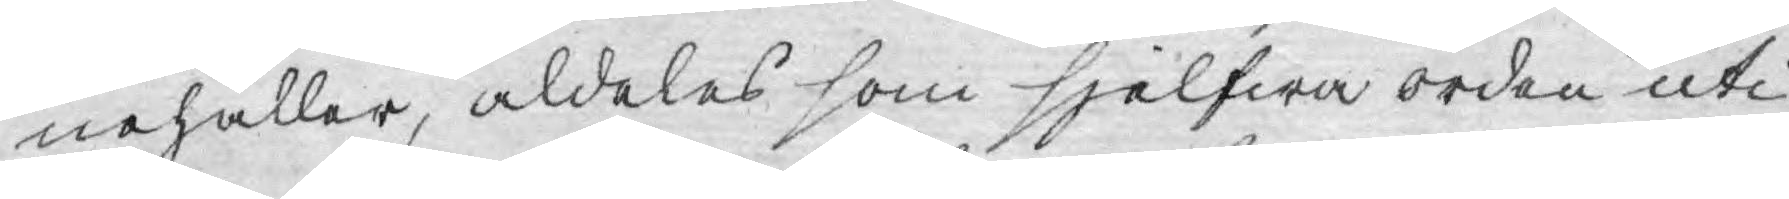nehåller, aldeles som sjelfwa orden uti
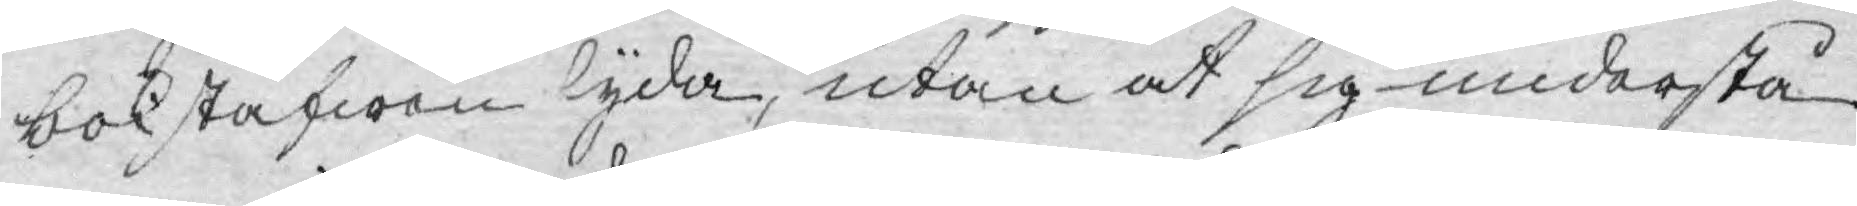bokstafwen lyda, utan at sig understå
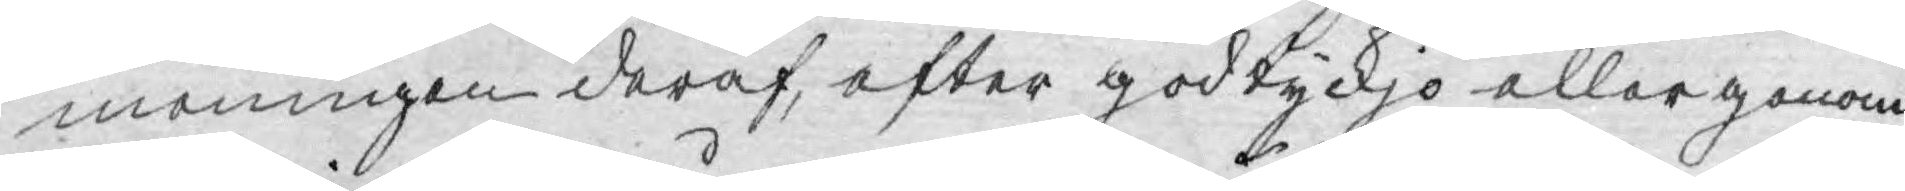meningen deraf, efter godtyckjo eller genom
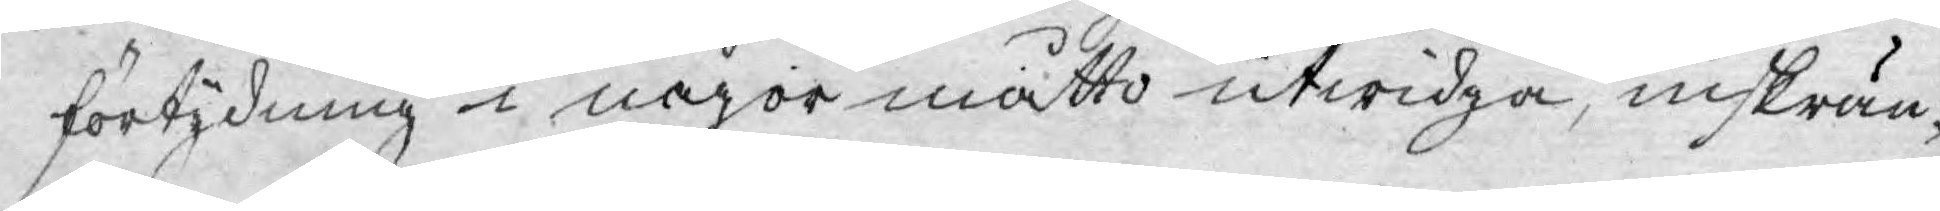förtydning i någor måtto utwidga, inskrän¬
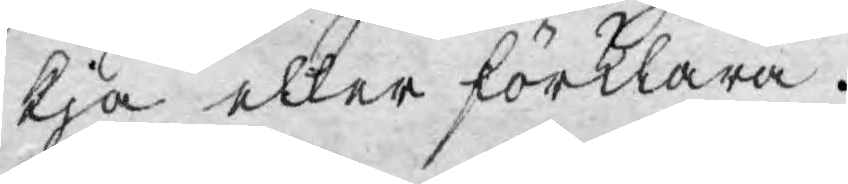kja eller förklara.
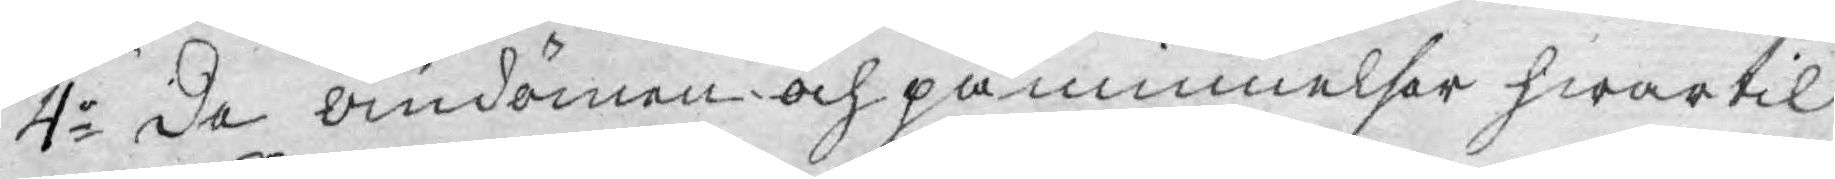4:o De omdömen och påminnelser hwartil
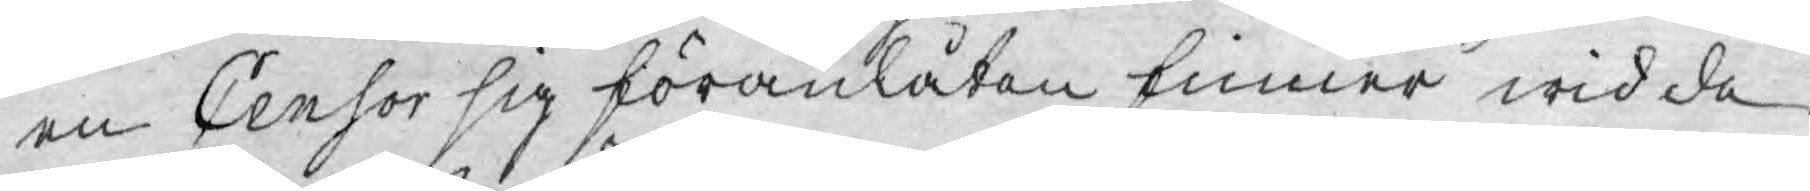en Censor sig föranlåten finner wid de
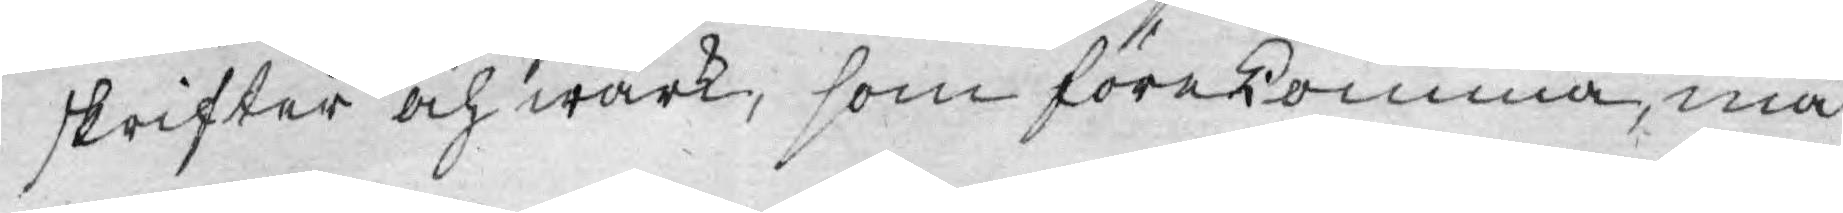skrifter och wärk, som förekomma, må
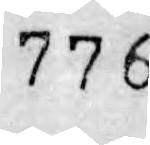776
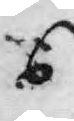6
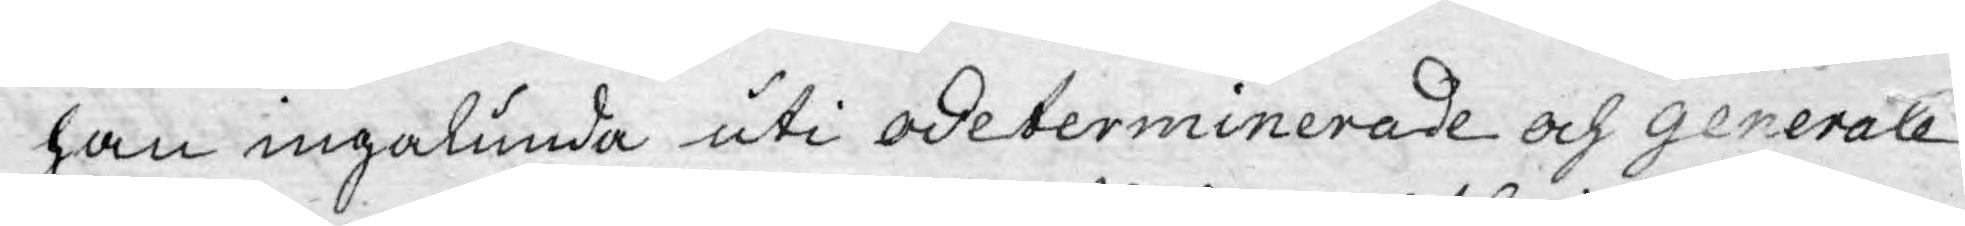han ingalunda uti odeterminerade och generale
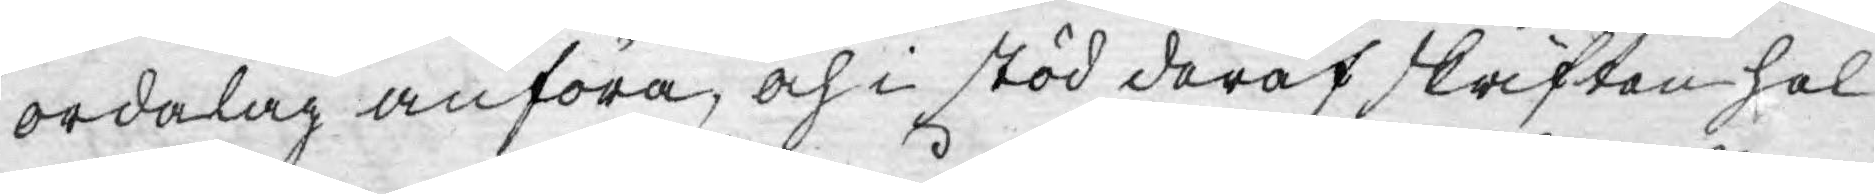ordalag anföra, och i stöd deraf skriften hel
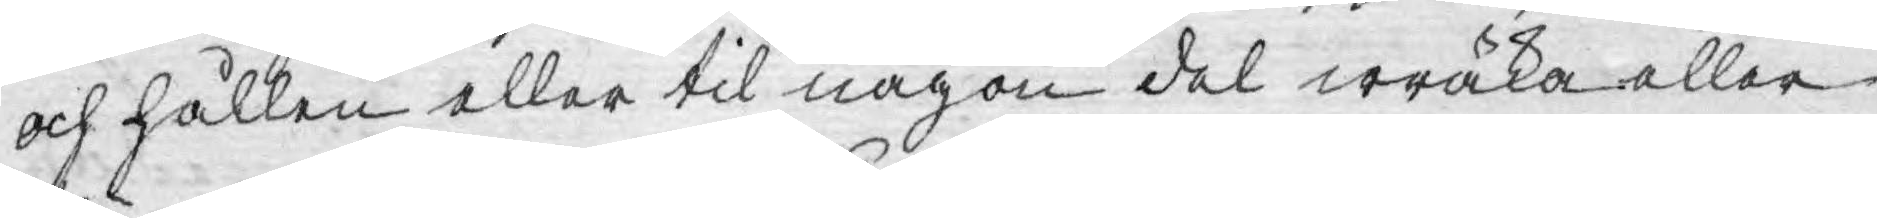och hållen eller til någon del wräka eller
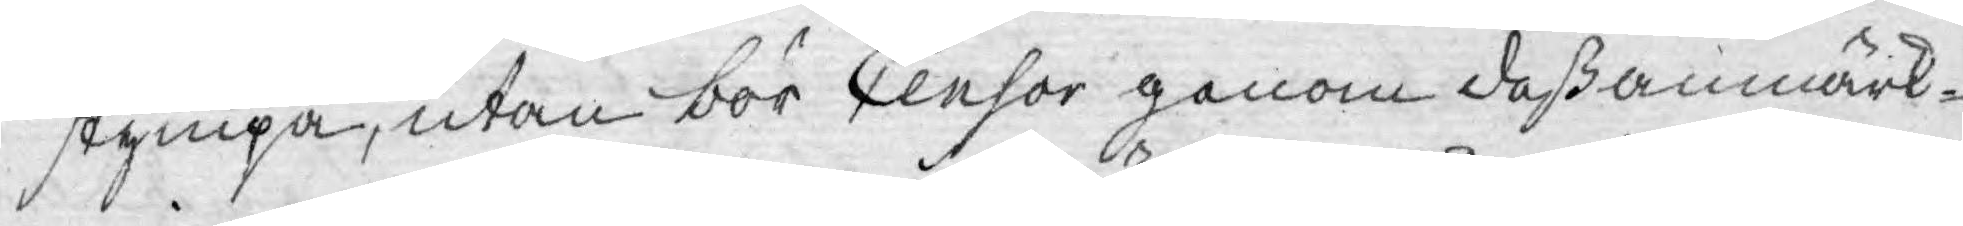stympa, utan bör Censor genom deß anmärk¬
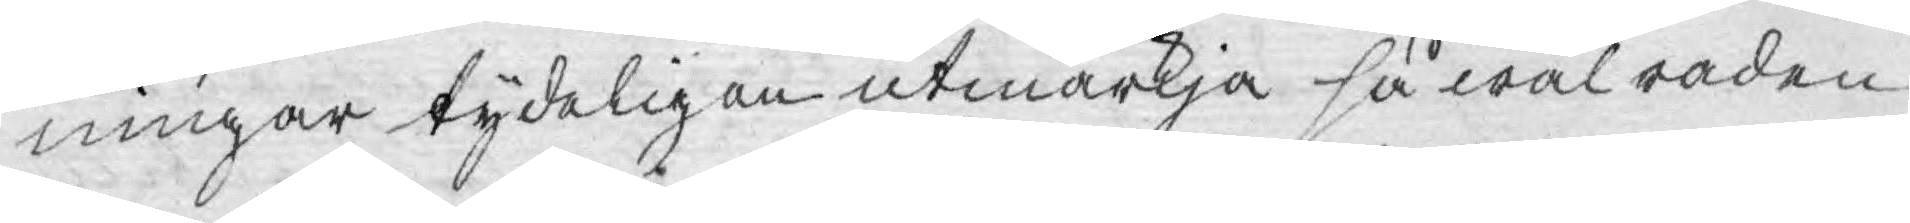ningar tydeligen utmärkja så wäl raden
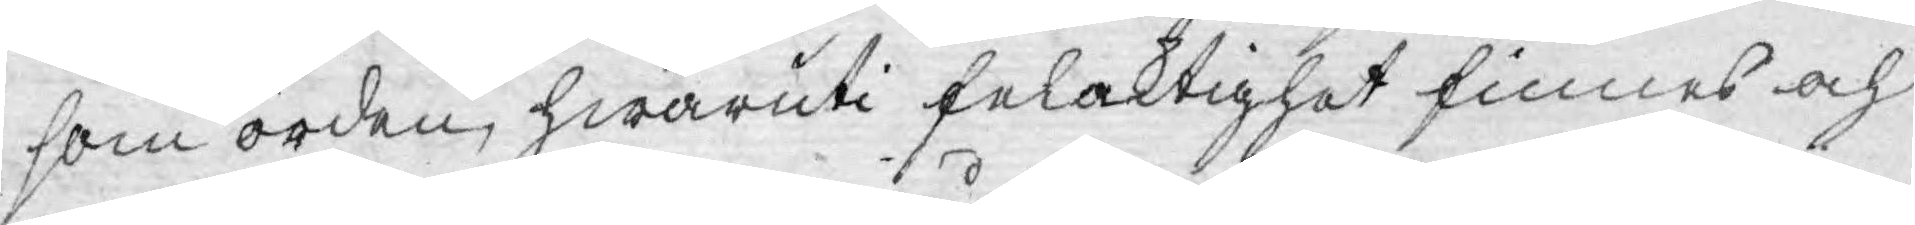som orden, hwaruti felaktighet finnes och
